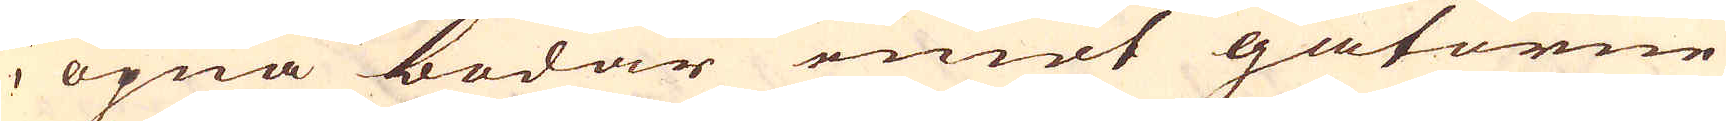i öpna bodar emot gatorne
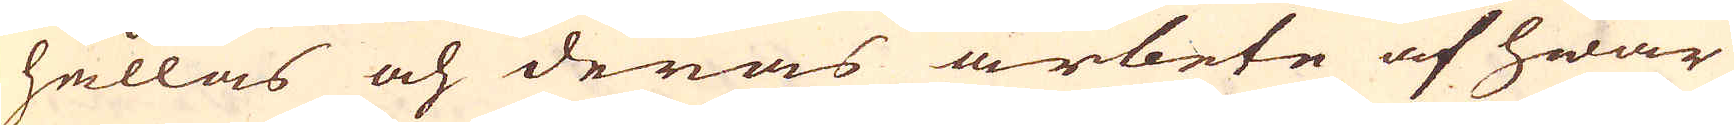hållas och deras arbete af hwar
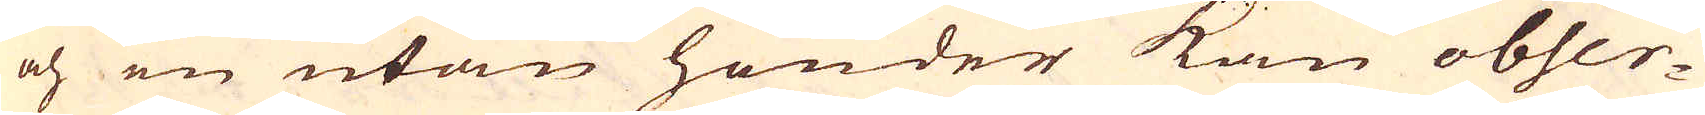och en utan hinder kan obser-
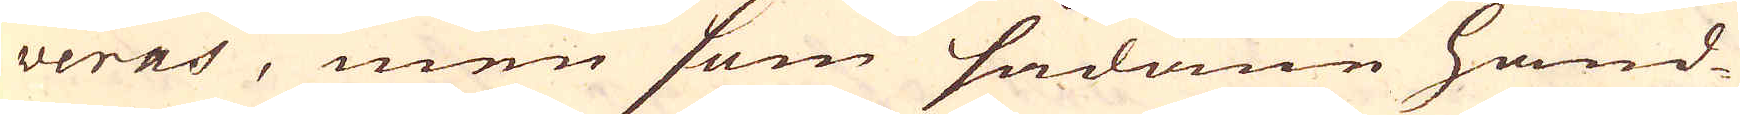veras, men som sådane hand-
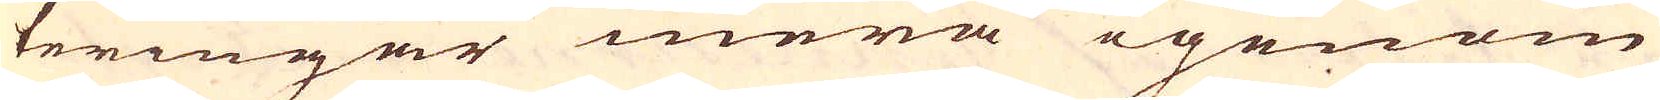teringar mera igenom
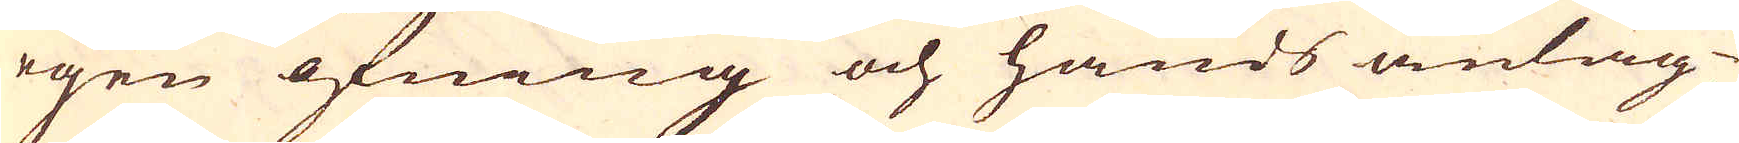egen öfning och hands anläg-
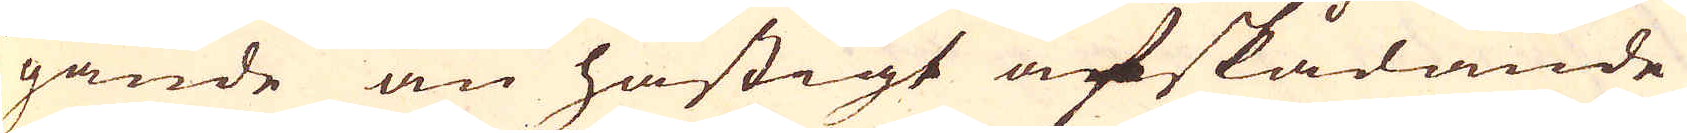gande än hastigt afskådande
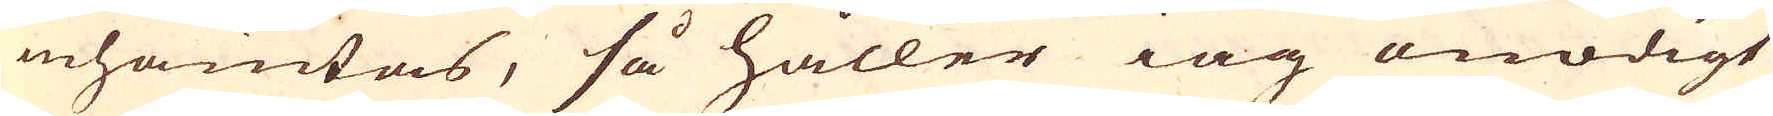inhämtas, så håller iag onödigt
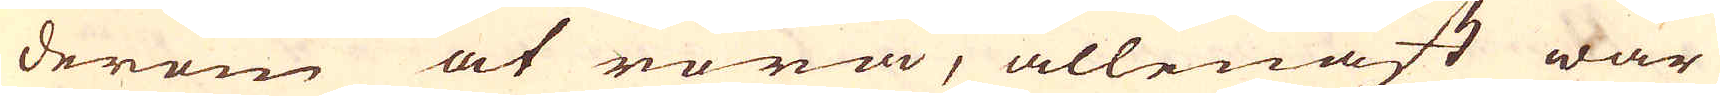derom at röra, allenast war
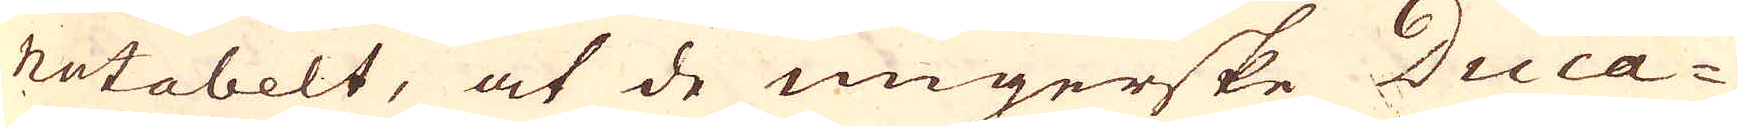notabelt, at de ungerske Duca-
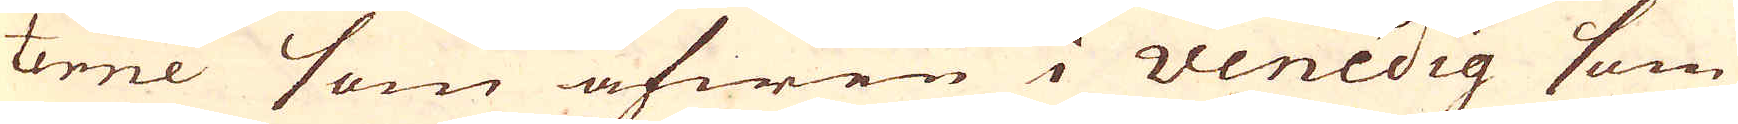terne som äfwen i Venedig som
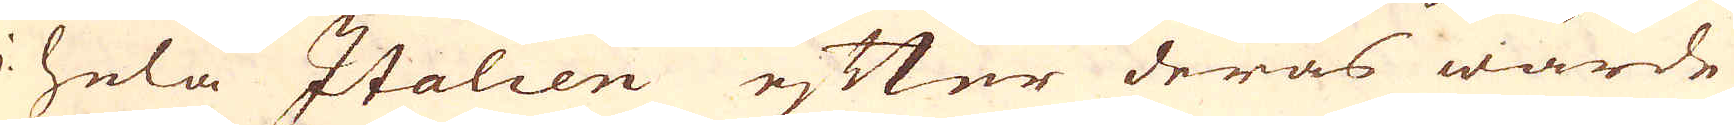i hela Italien efter deras wärde
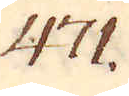471.
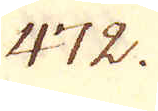472.
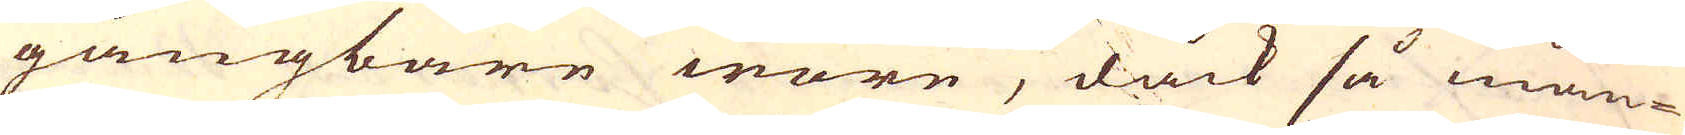gångbare wore, dåck så mån-
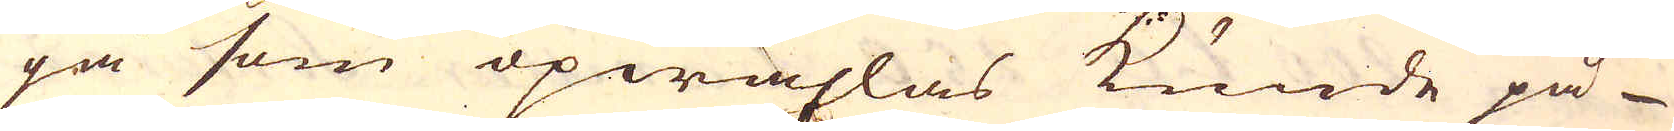ga som opwäxlas kunde på-
